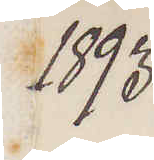1893
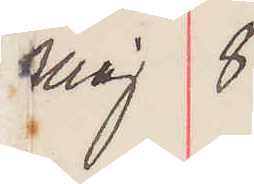Maj 8
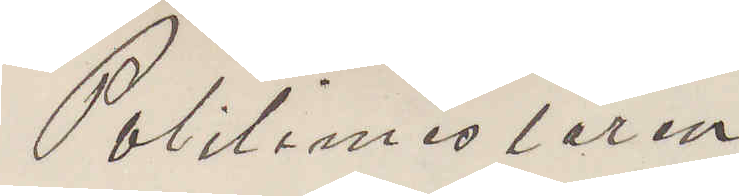Politimesteren
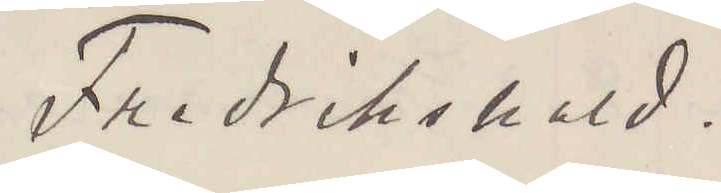Fredrikshald.
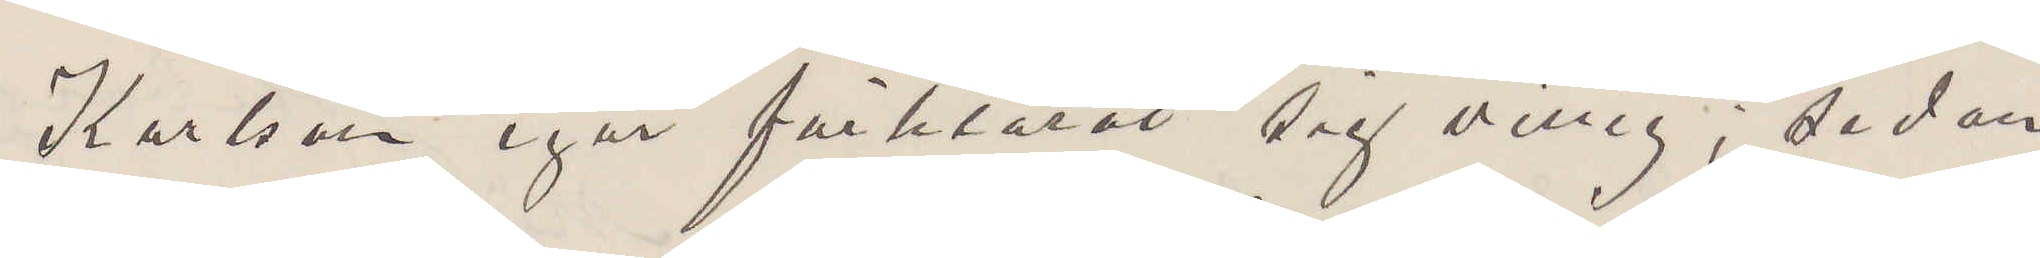Karlson igår förklarat sig villig; sedan
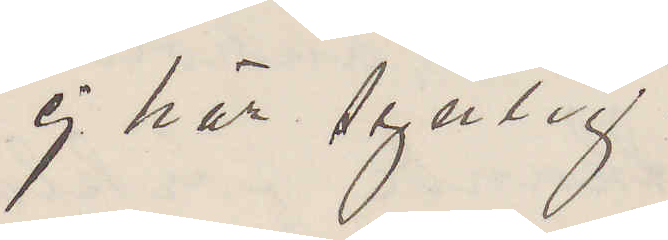ej här synlig.
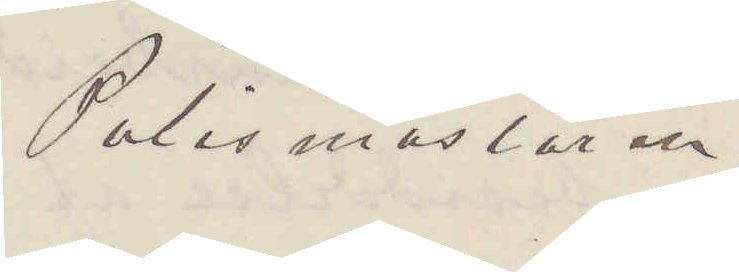Polismästaren.
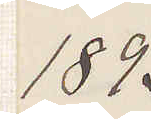1893
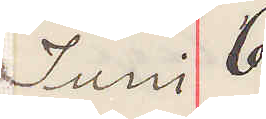Juni 6
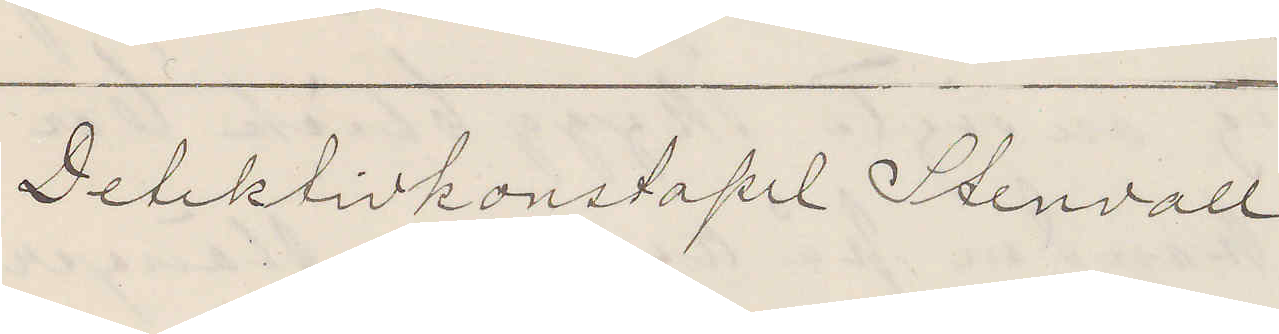Detektivkonstapel Stenvall
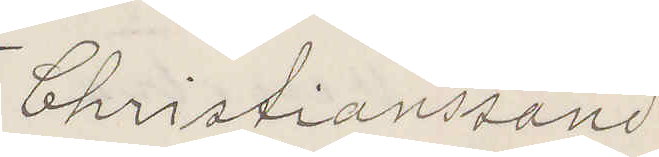Christianssand
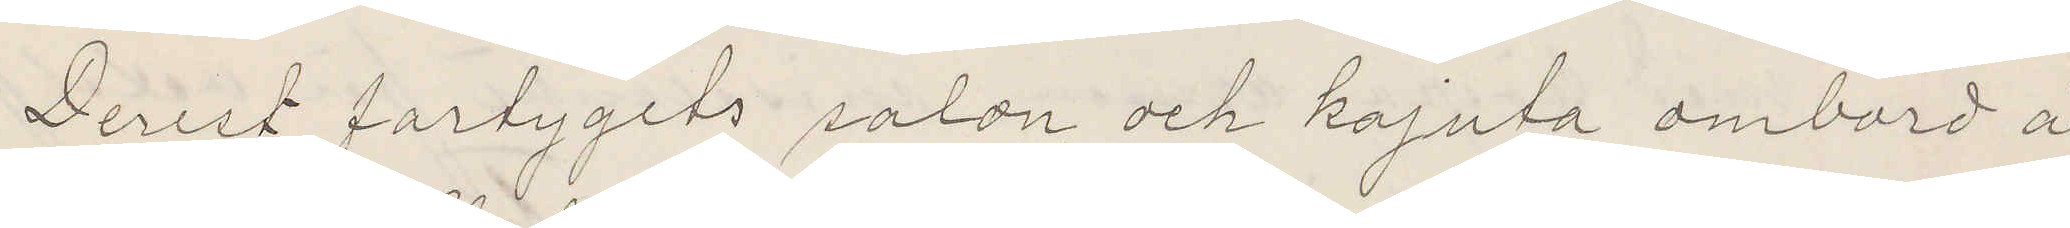Derest fartygets salon och kajuta ombord å
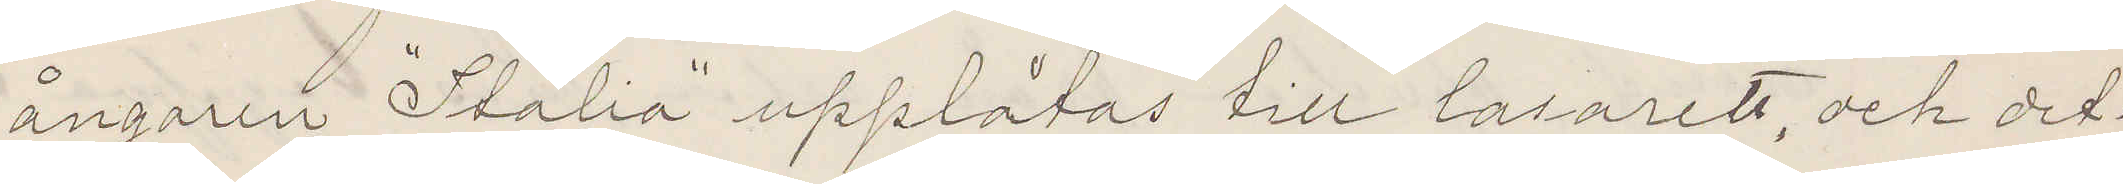ångaren "Italia" upplåtas till lasarett, och det¬
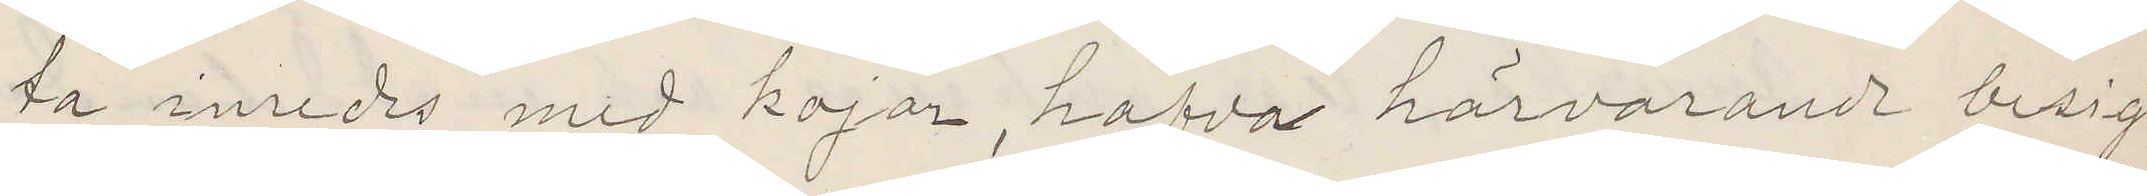ta inredes med kojar, hafva härvarande besigt¬
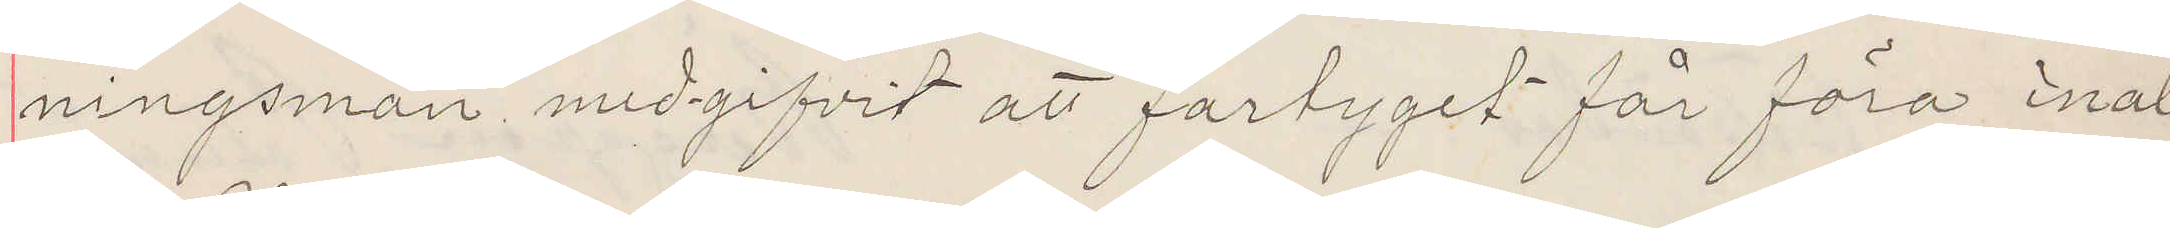ningsmän medgifvit att fartyget får föra inal¬
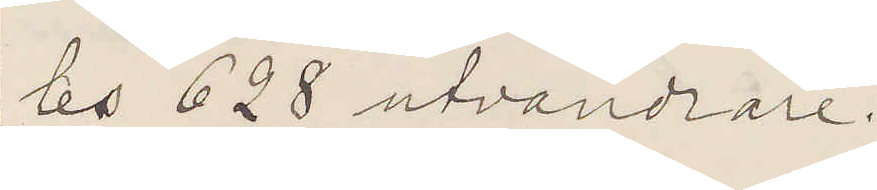les 628 utvandrare.
